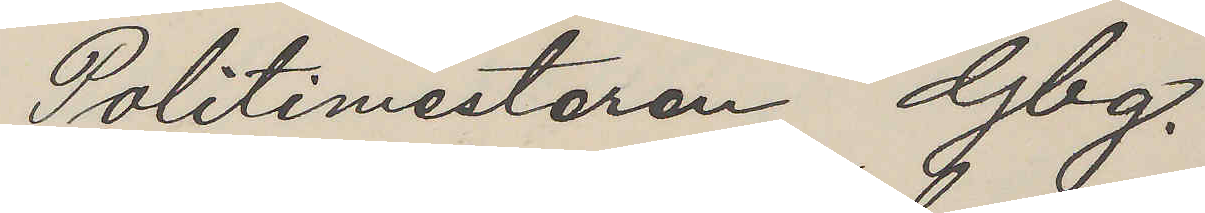Politimesteren Gbg.
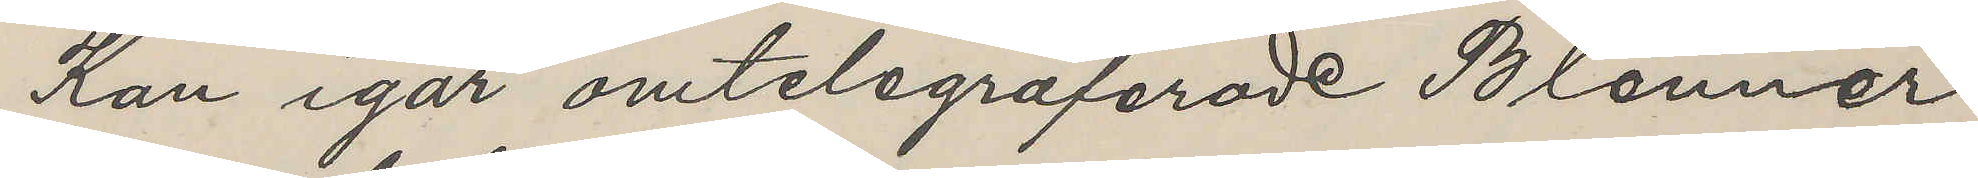Kan igår omtelegraferade Blenner
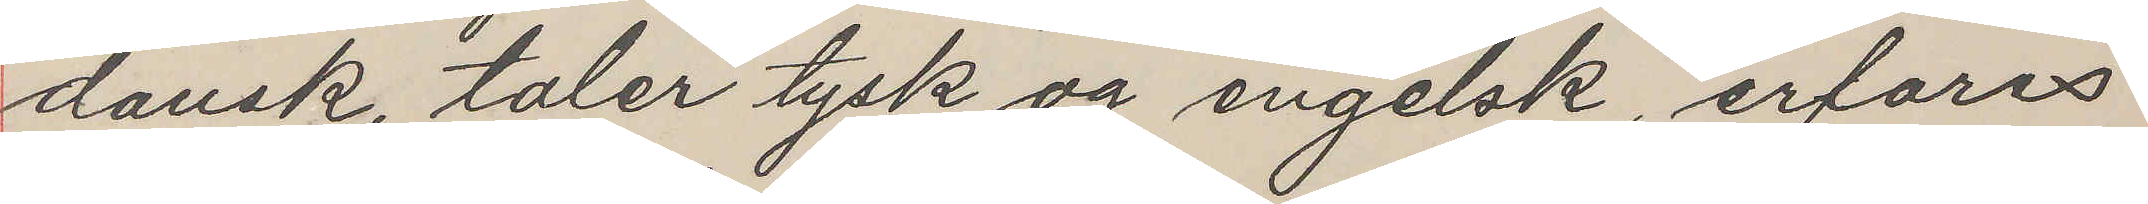dansk, taler tysk og engelsk, erfares
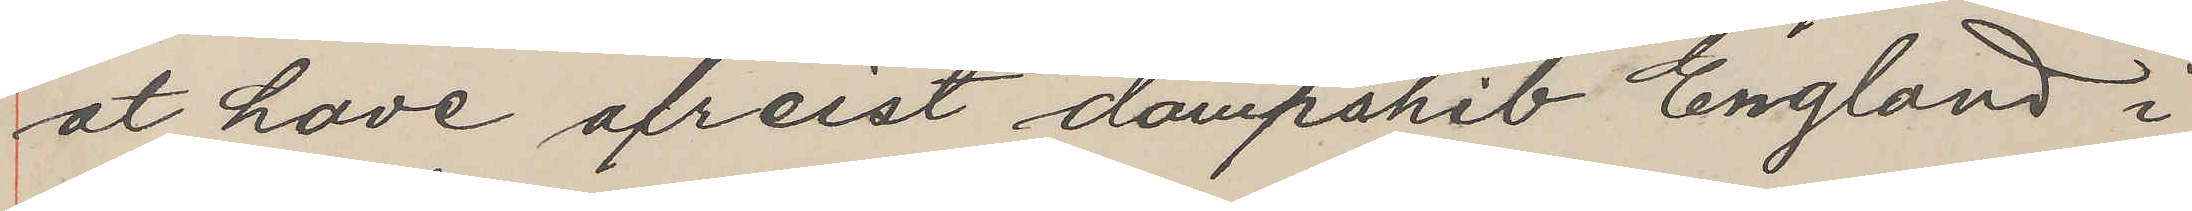at have afreist dampshib England i
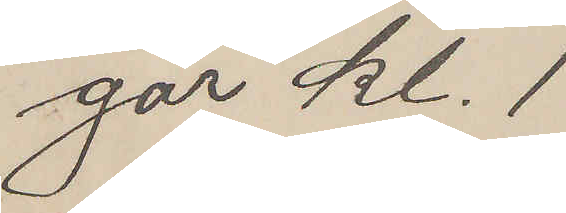går kl. 1
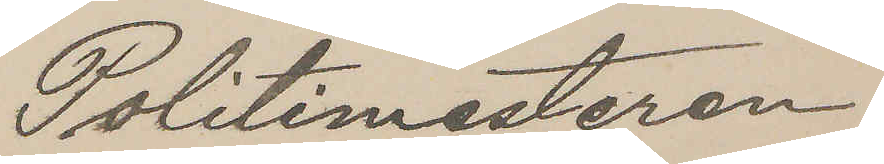Politimesteren
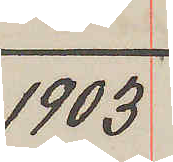1903
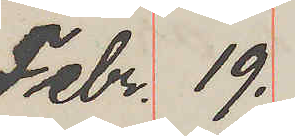Febr. 19.
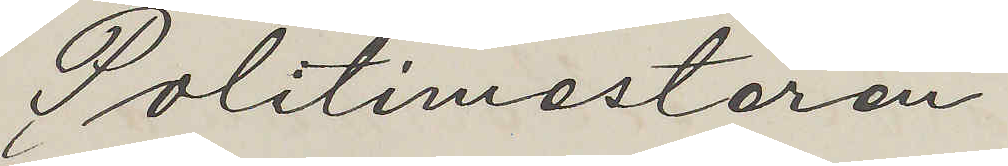Politimesteren
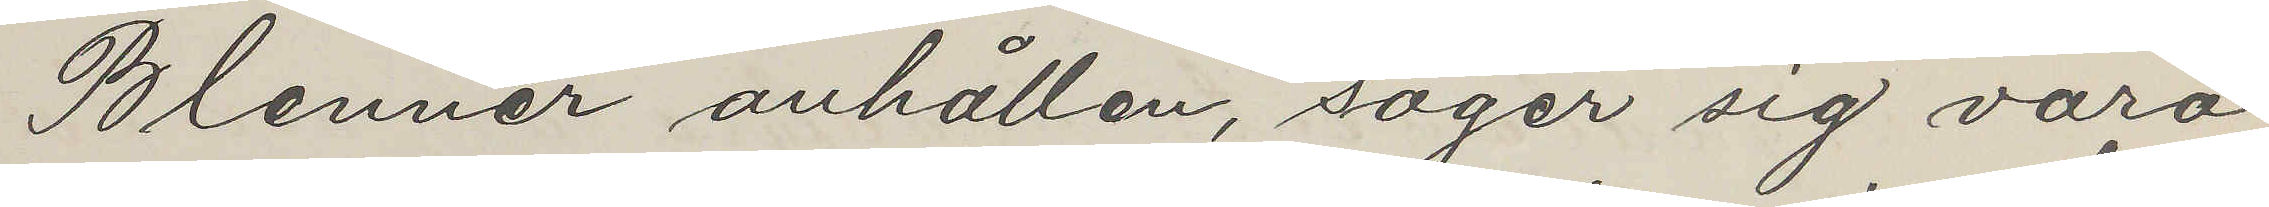Blenner anhållen, säger sig vara
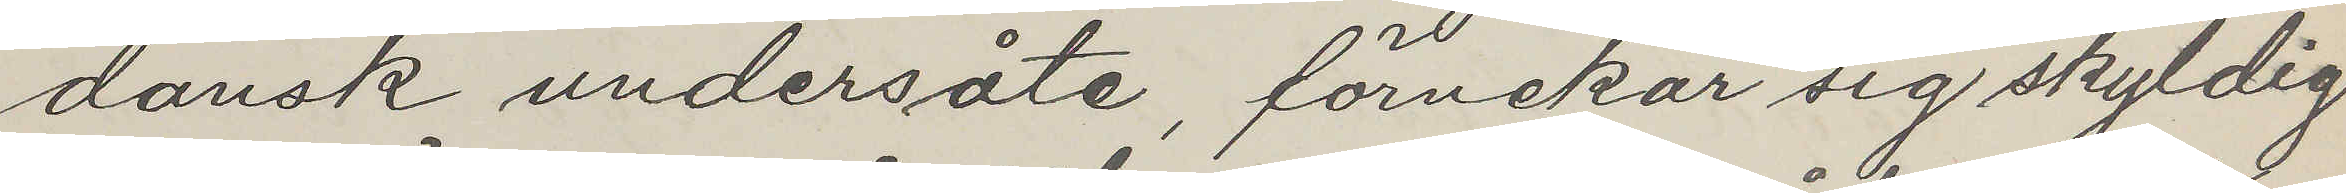dansk undersåte, förnekar sig skyldig
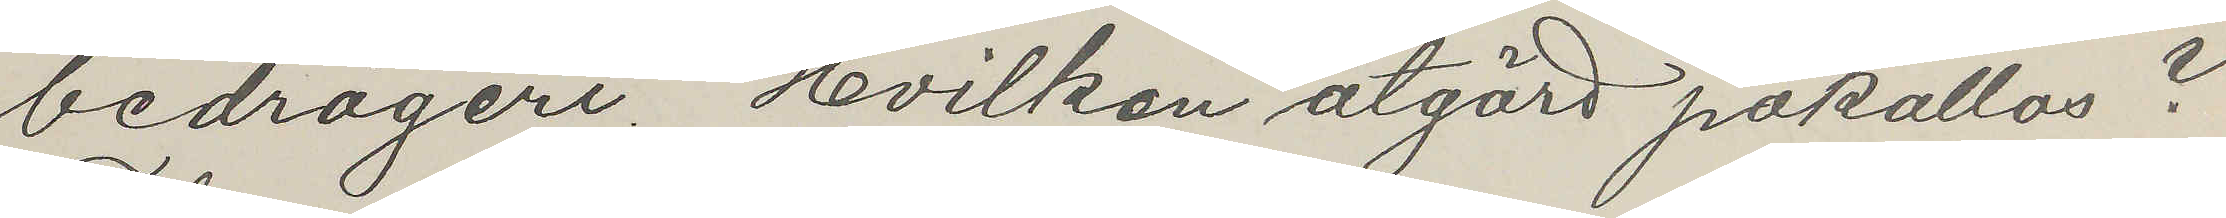bedrägeri. Hvilken åtgärd påkallas?
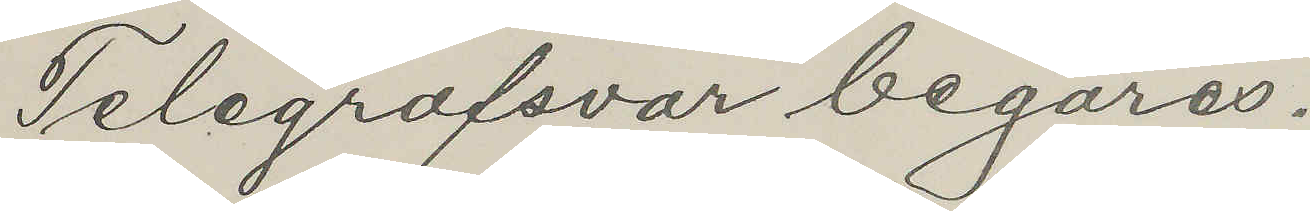Telegrafsvar begäres.
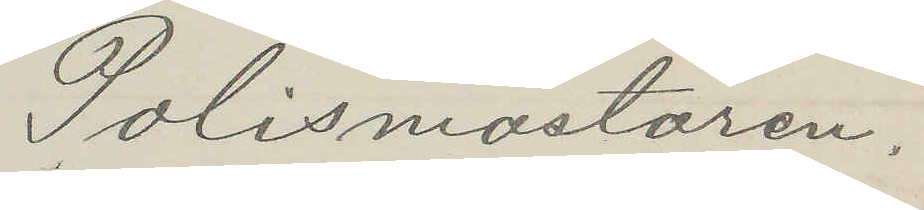Polismästaren.
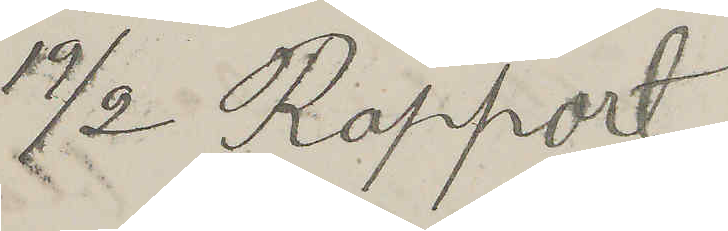19/2 Rapport
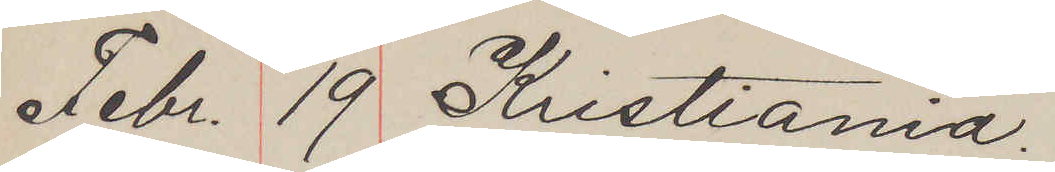Febr. 19. Kristiania.
